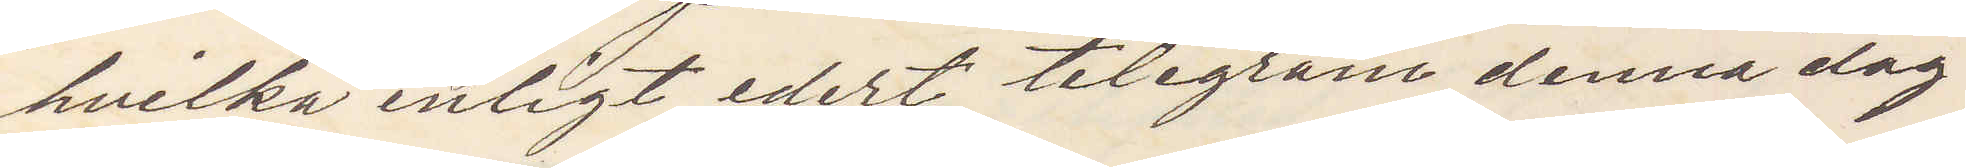hvilka enligt edert telegram denna dag
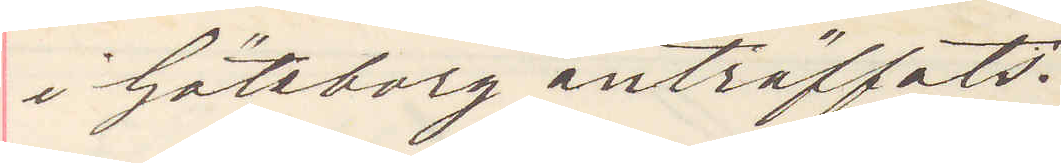i Göteborg anträffats.
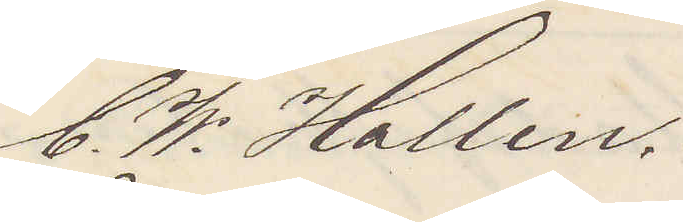C. W. Hallen
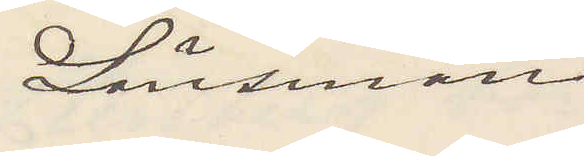Länsman
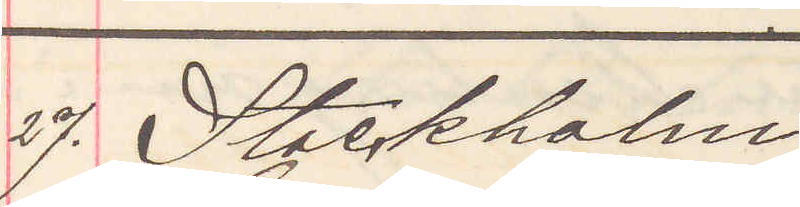27. Stockholm
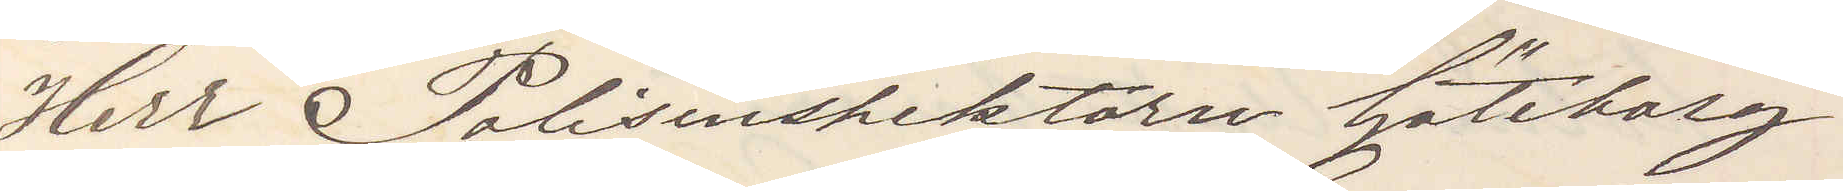Herr Polisinspektörn Göteborg
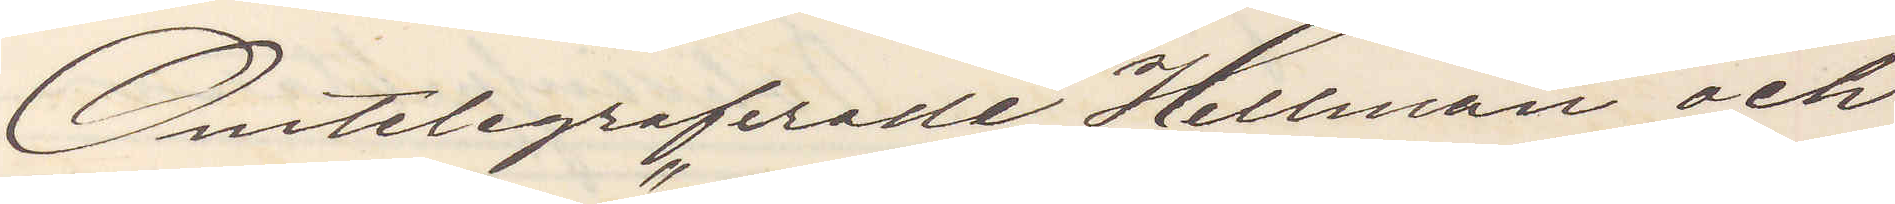Omtelegraferade Hellman och
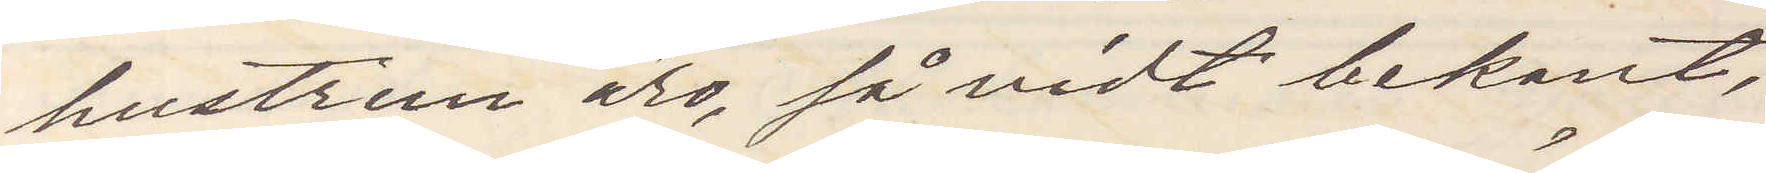hustrun äro, så vidt bekant,
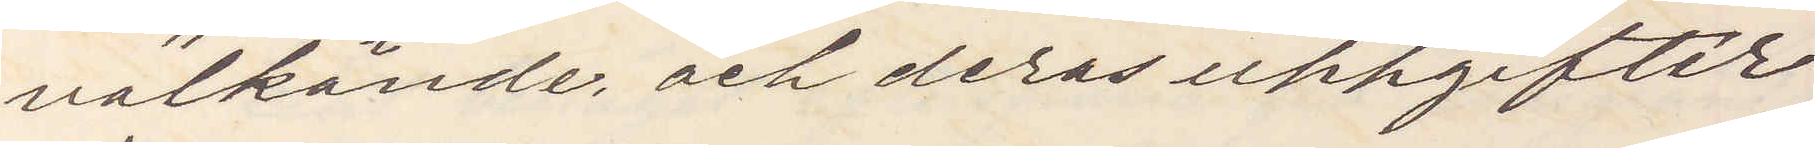välkända och deras uppgifter
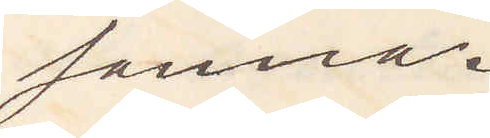sanna.
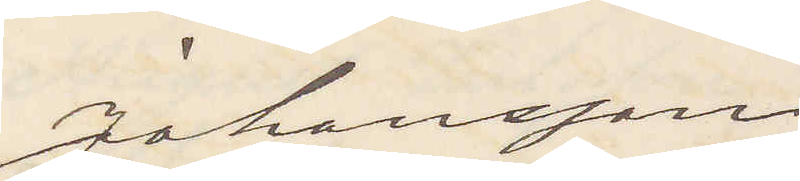Johansson
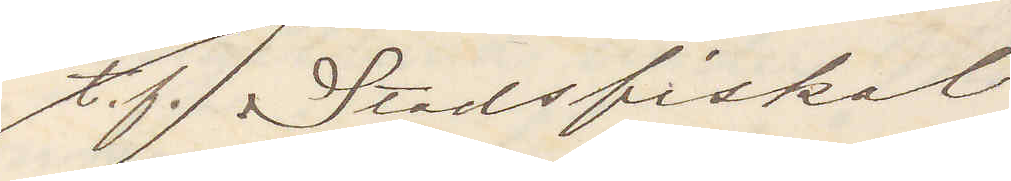t. f. Stadsfiskal
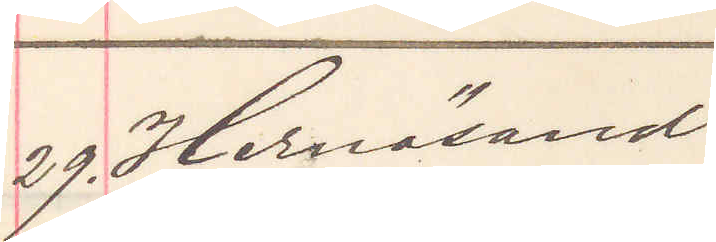29. Hernösand
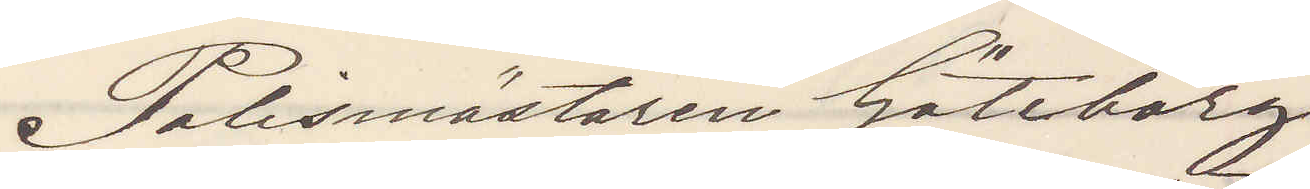Polismästaren Göteborg
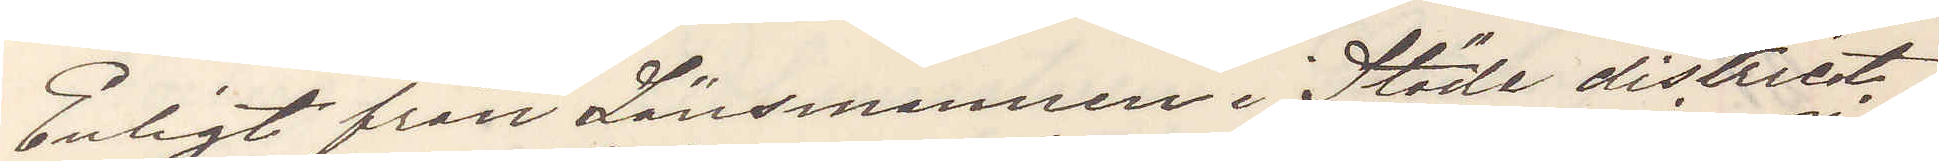Enligt från Länsmannen i Stöde district
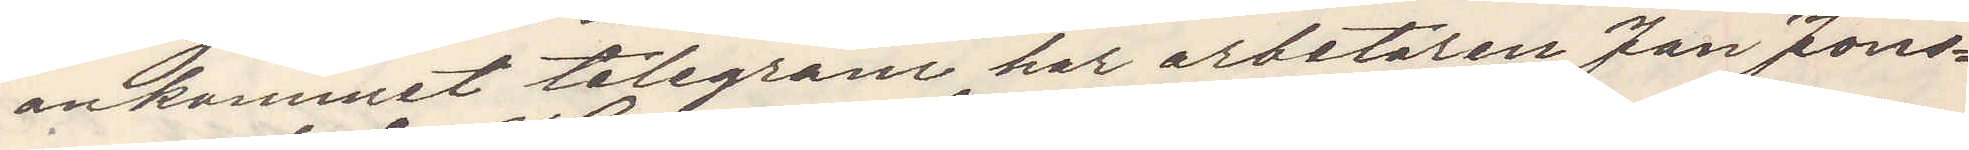ankommet telegram har arbetaren Jan Jons¬
